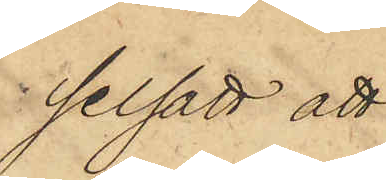selsatt att
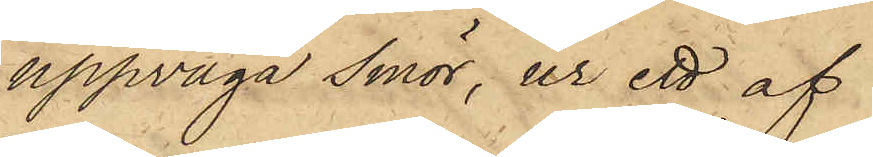uppväga smör, ur ett af
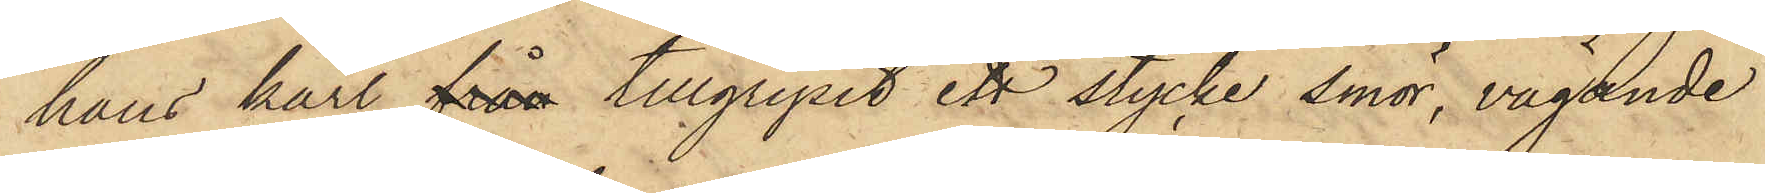hans kärl från tillgripit ett stycke smör, vägande
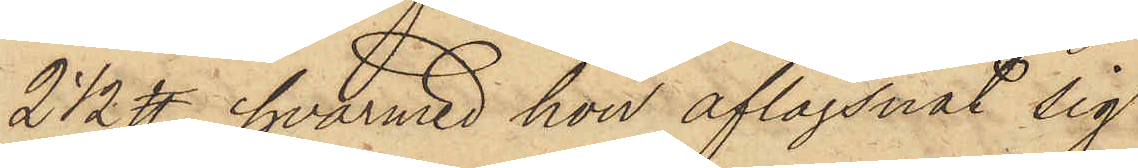2 1/2 ℔, hvarmed hon aflägsnat sig;
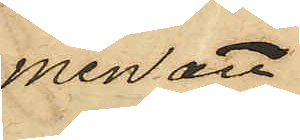men att
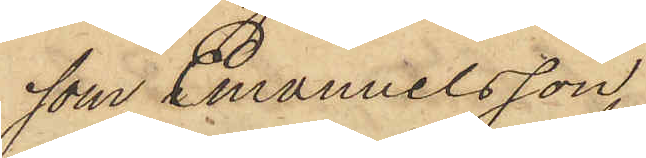som Emanuelsson
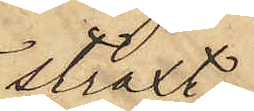straxt
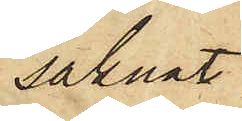saknat
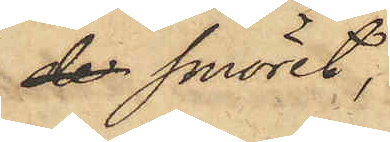de smöret;
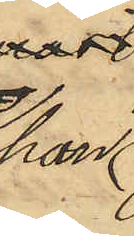han
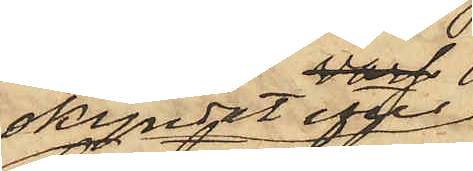skyndat efter
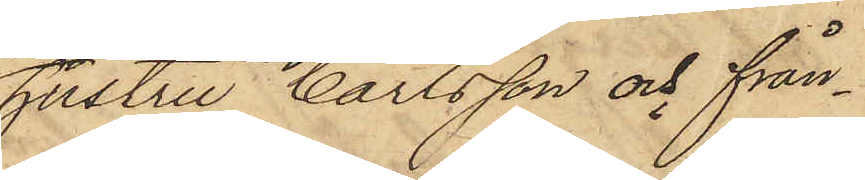hustru Carlsson och från¬
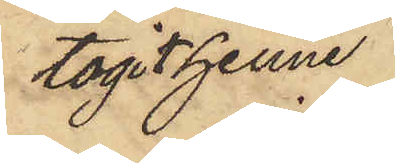tagit henne
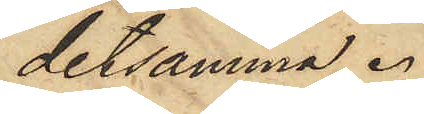detsamma.
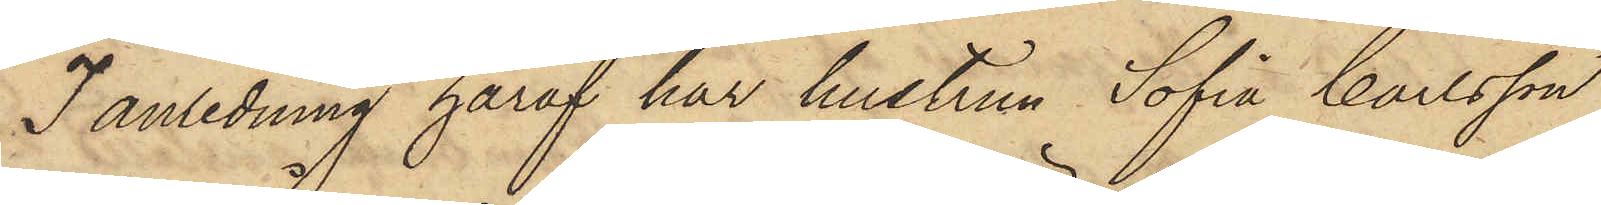I anledning häraf har hustrun Sofia Carlsson
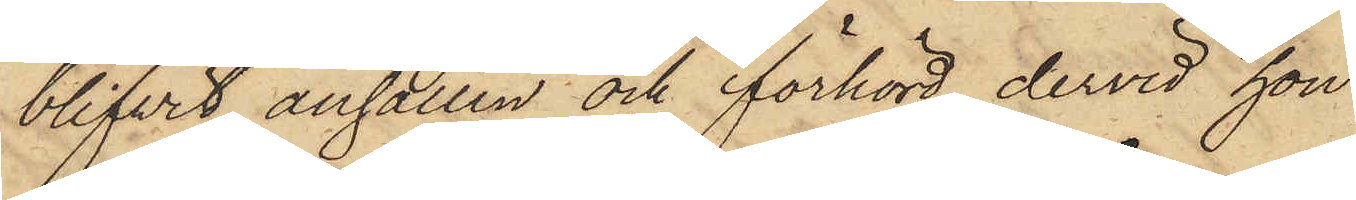blifvit anhållen och förhörd, dervid hon
